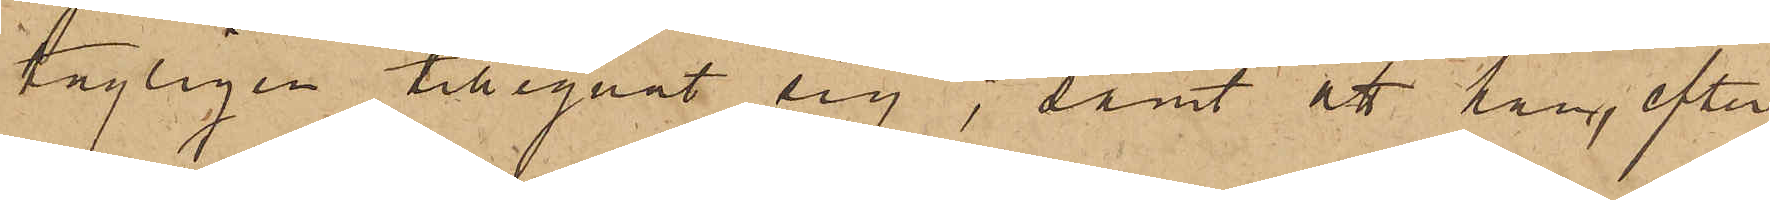tagligen tillegnat sig; samt att han, efter
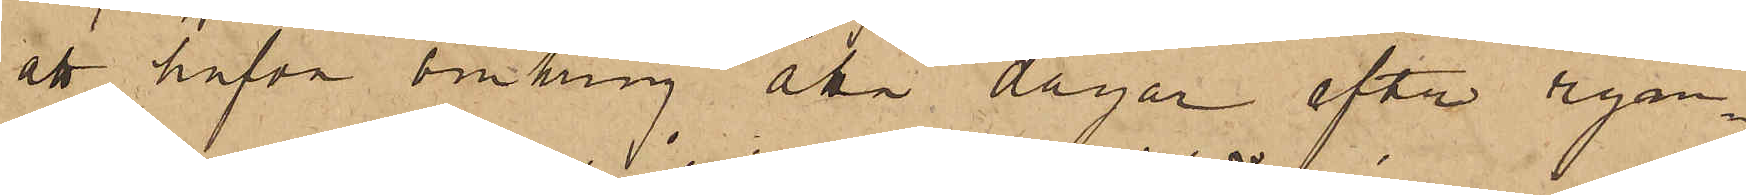att hafva omkring åtta dagar efter rym¬
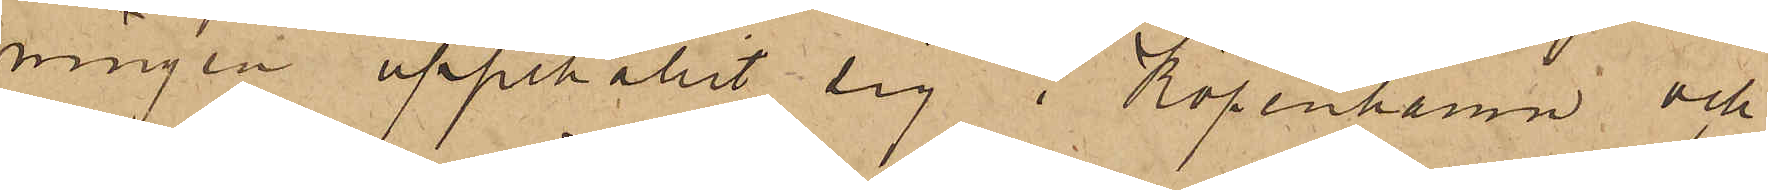ningen uppehållit sig i Köpenhamn och
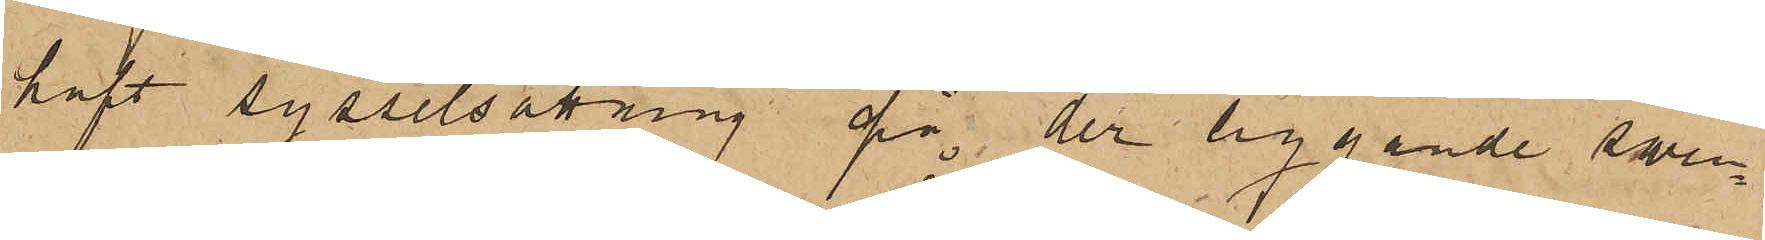haft sysselsättning på der liggande sven¬
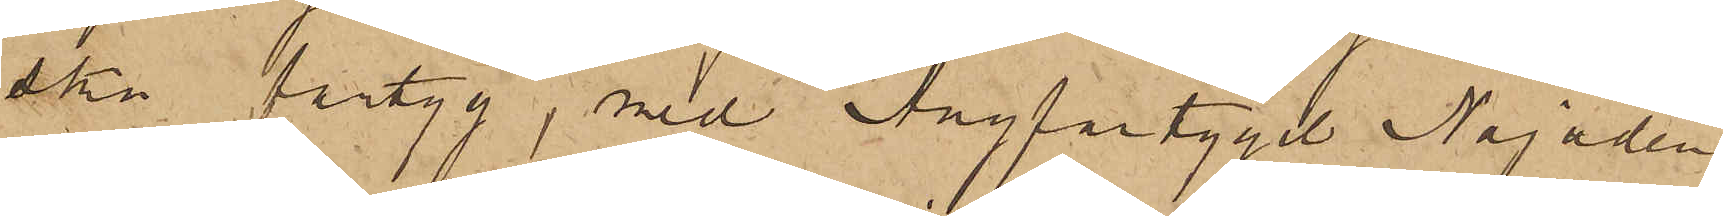ska fartyg, med Ångfartyget Najaden
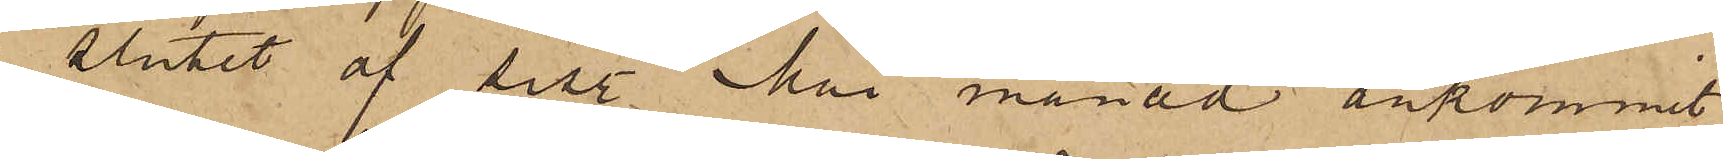slutet af sistl. Mai månad ankommit
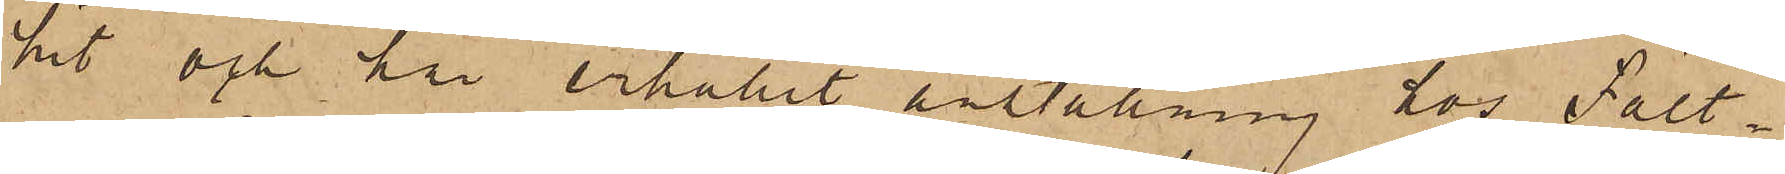hit och har erhållit anställning hos Fält¬
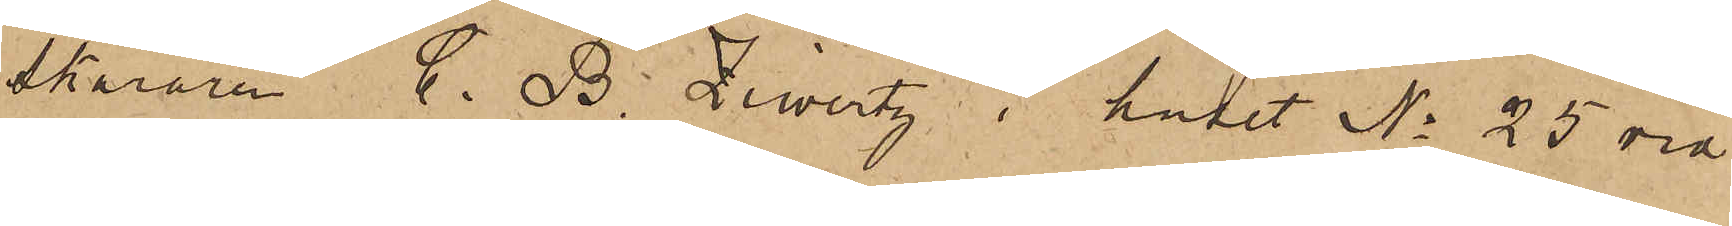skäraren C. B. Ziwertz i huset No 25 vid
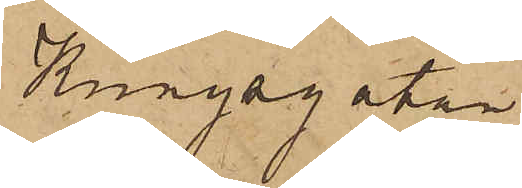Kungsgatan.
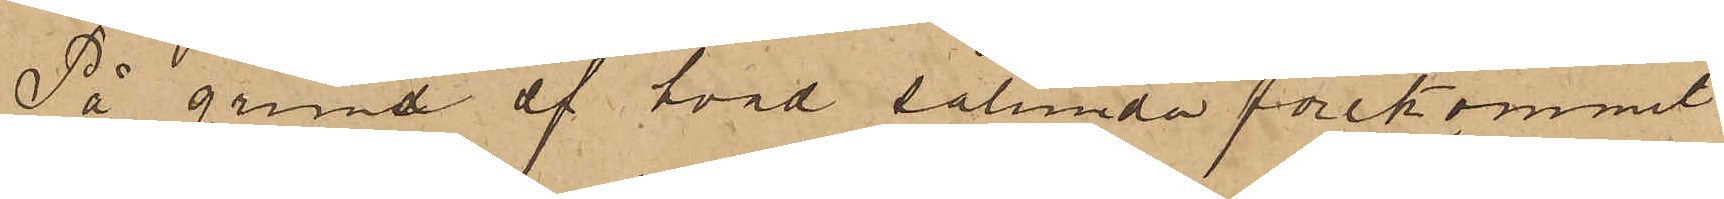På grund af hvad sålunda förekommit
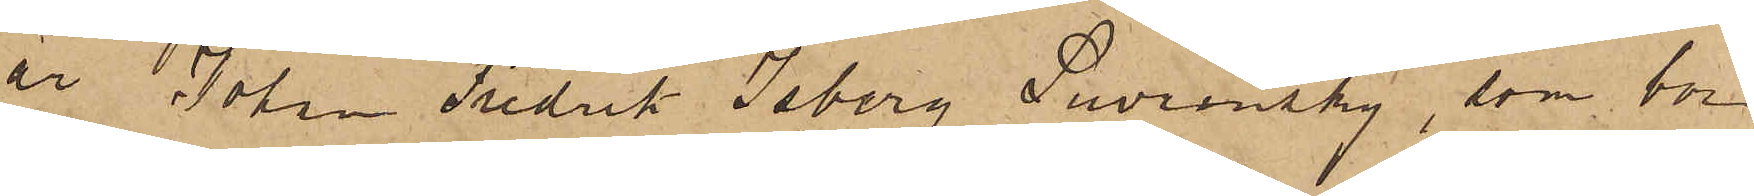är Johan Fredrik Isberg Suvrinsky, som bor
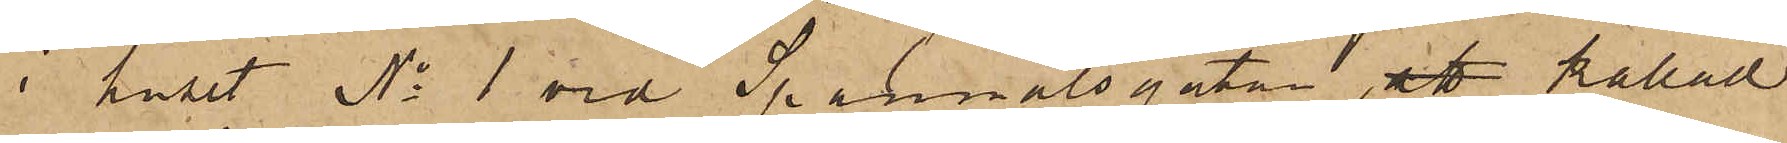i huset No 1 vid Spannmålsgatan, att kallad
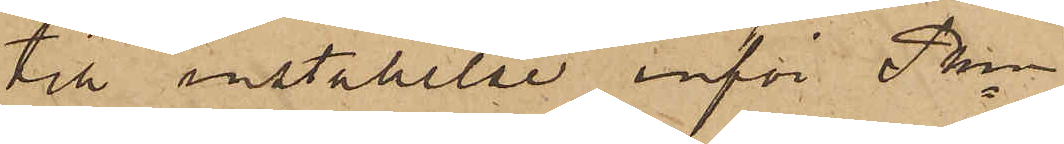till inställelse inför Pkn
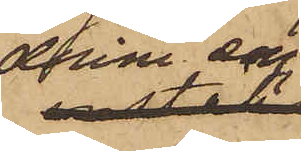denne dag
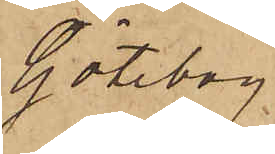Göteborg
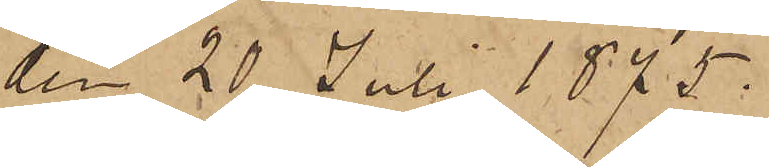den 20 Juli 1875.
